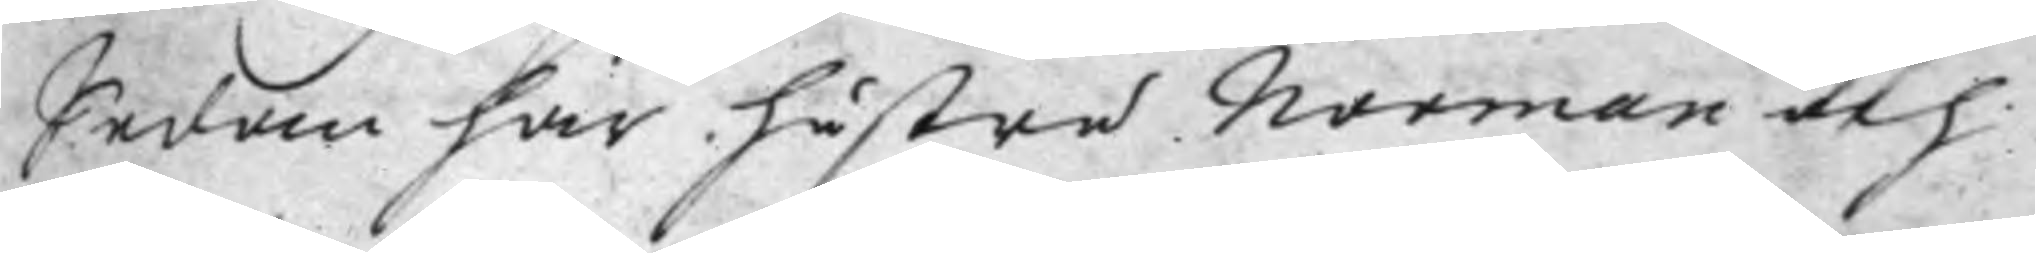Sedan har hustru Norman och
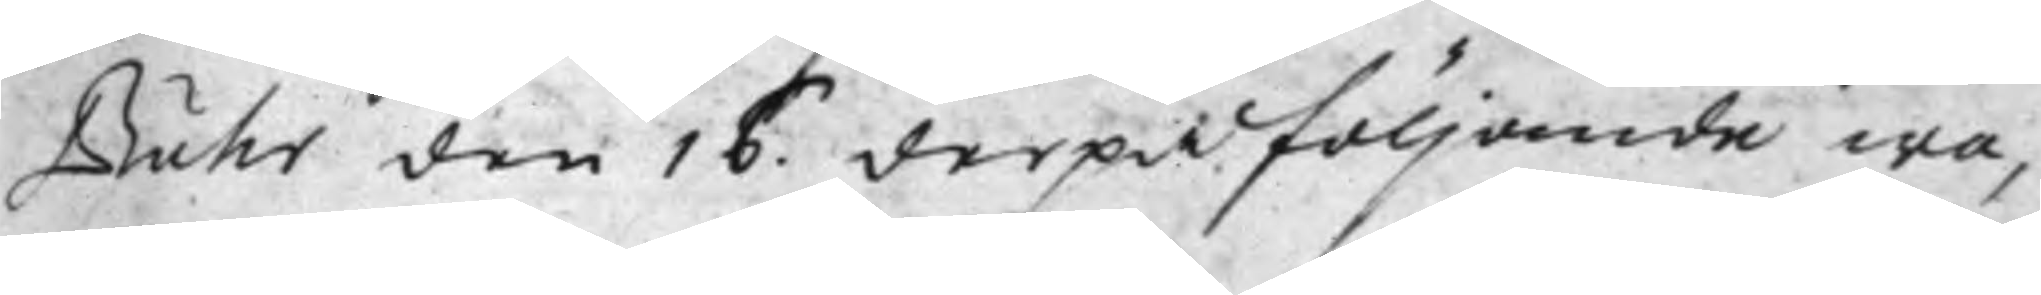Buhr den 16. derpåföljande wa¬
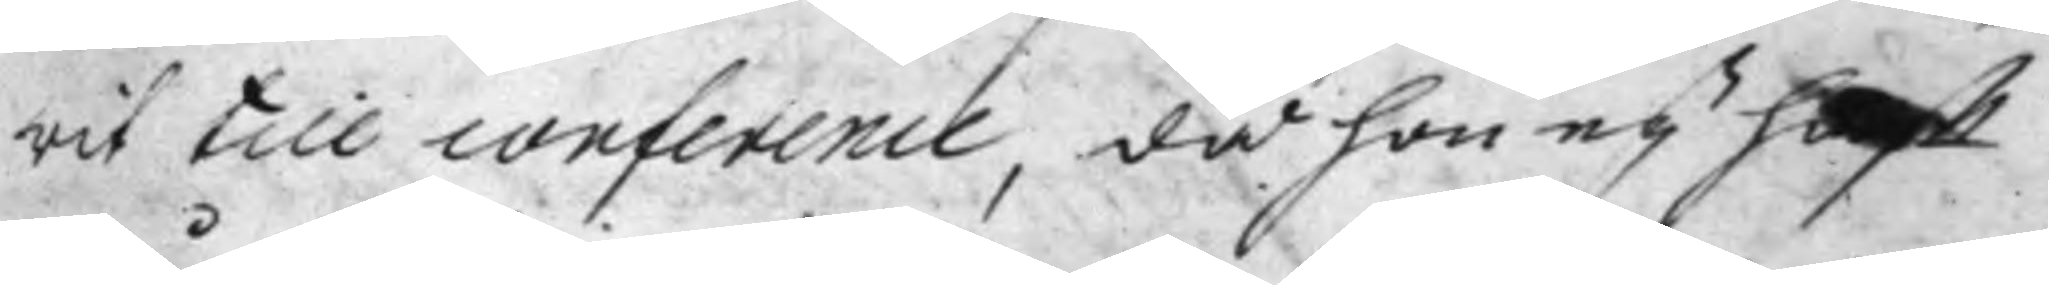rit till conference, då hon eij hafft
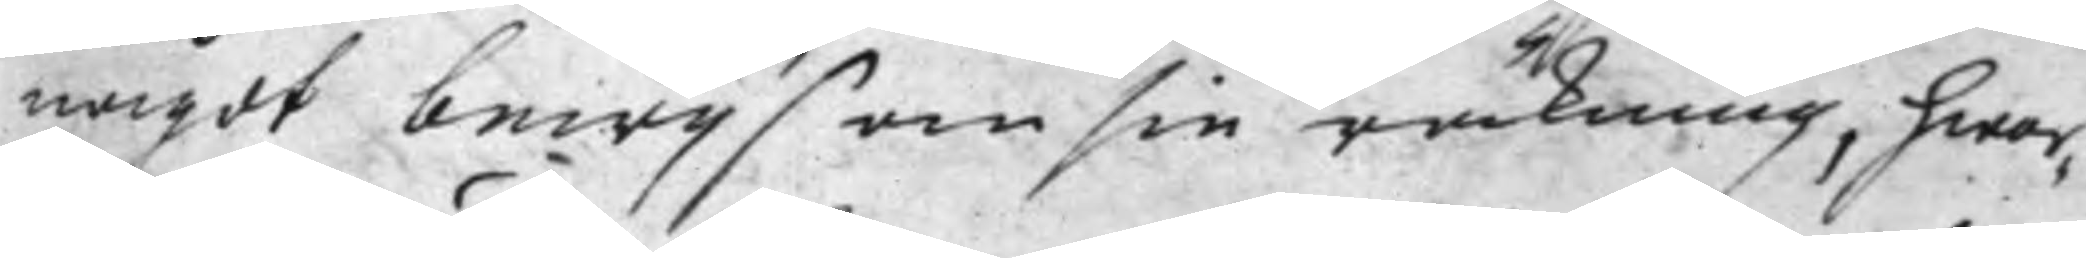något bewijs om sin räkning, hwar¬
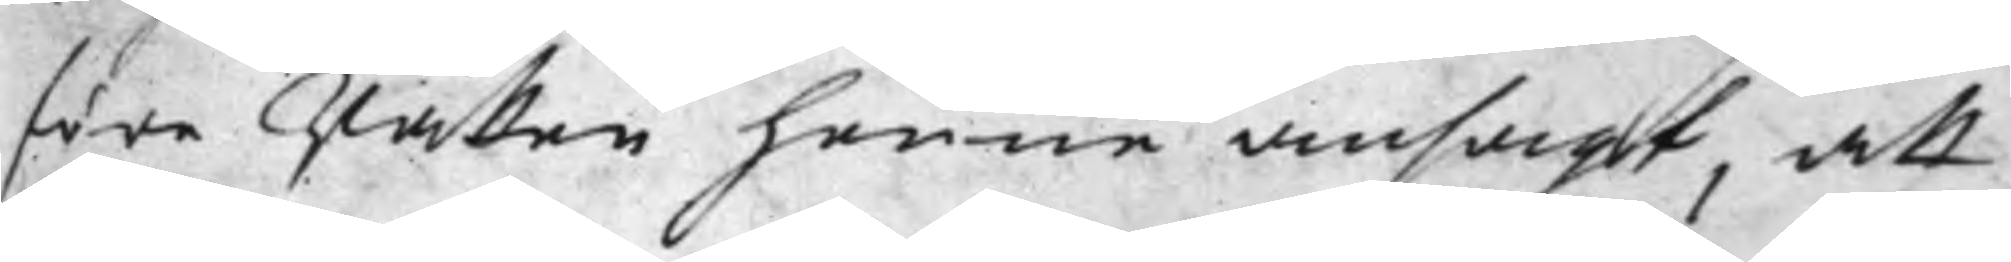före Rätten henne ansagt, att
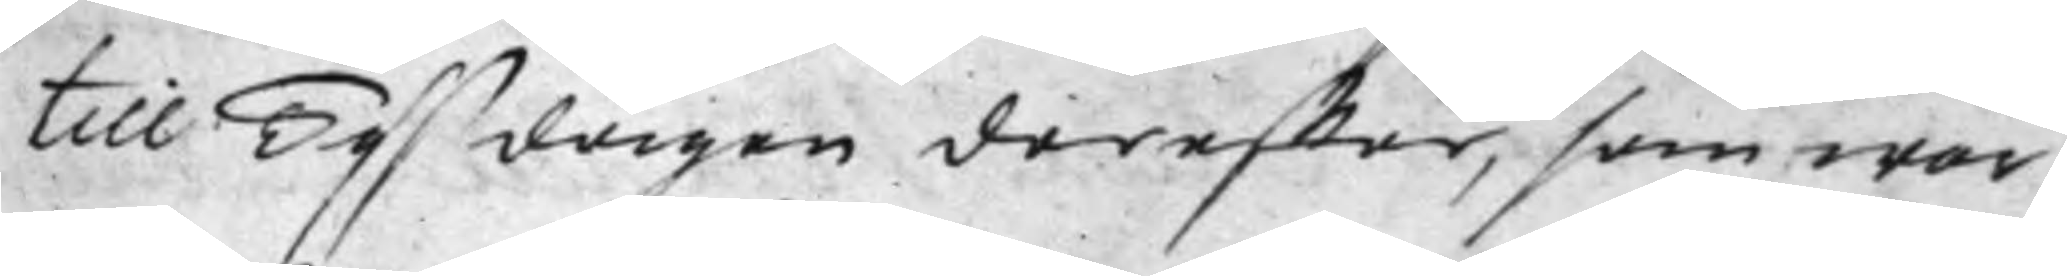till Tijsdagen dereffter, som war
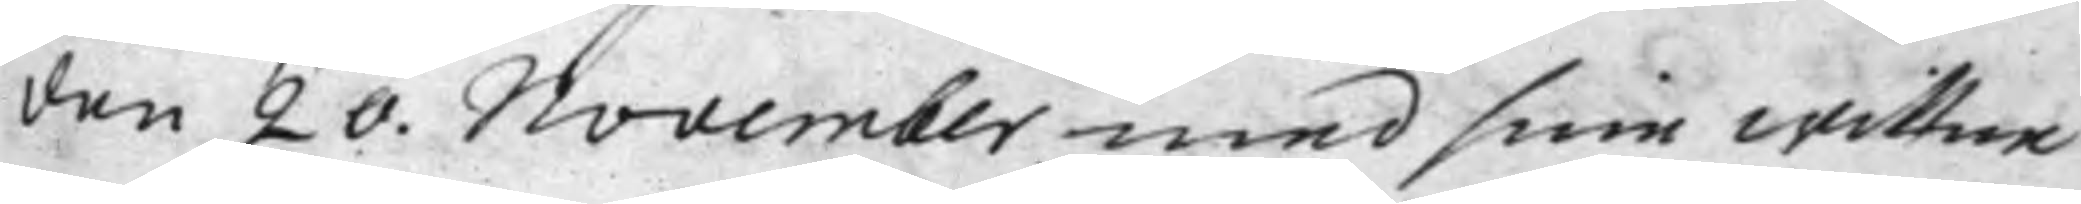den 20. November med sine wittne
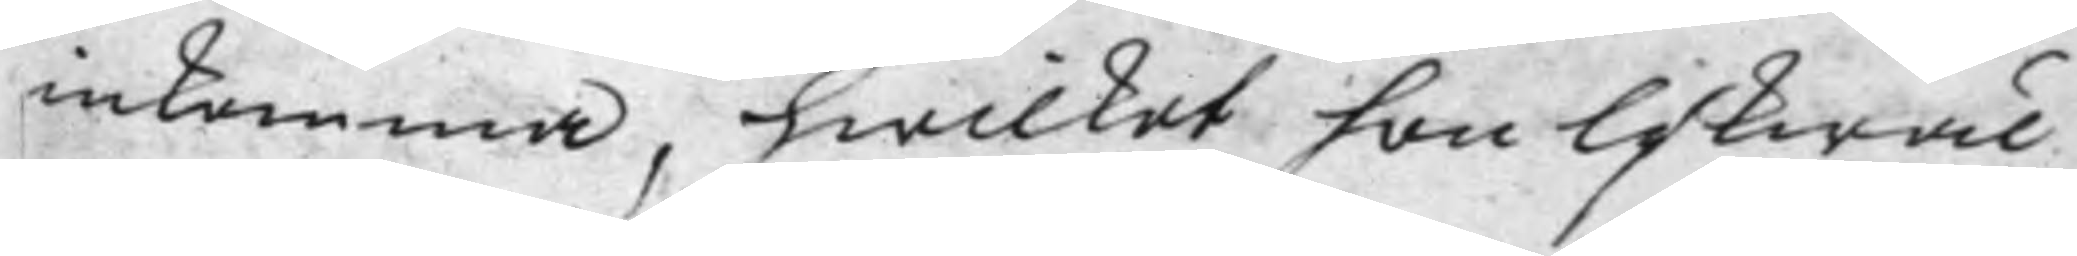inkomma, hwilket hon lijkwäl
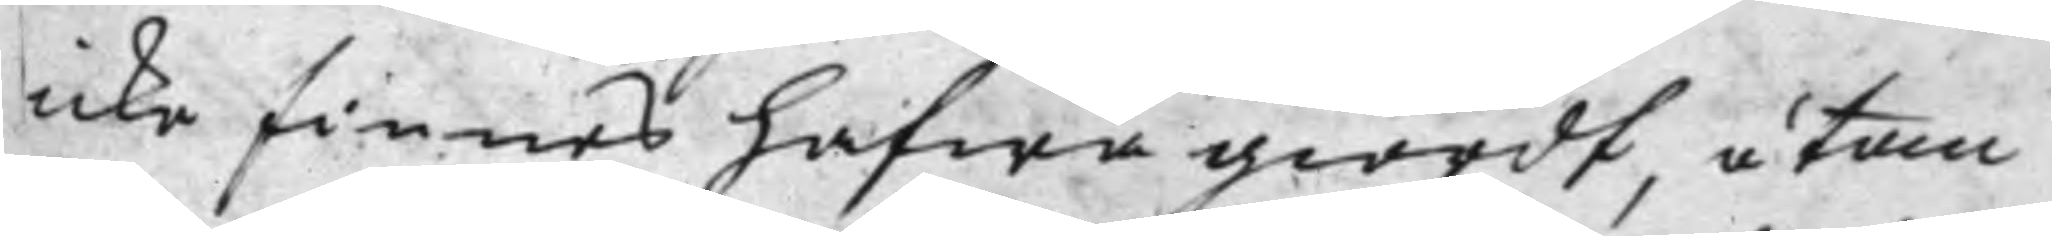icke finnes hafwa giordt, utan
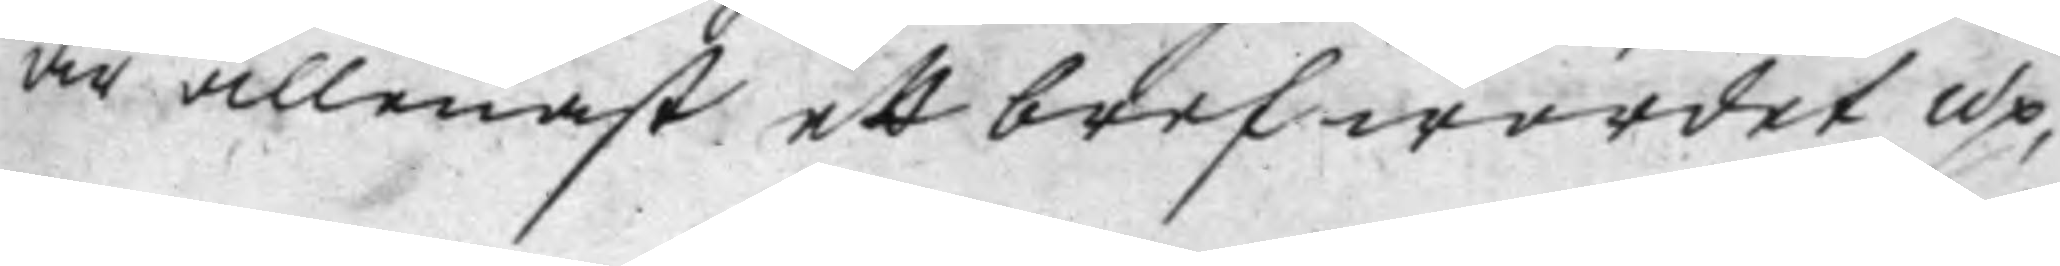är allenast ett bref wordet up¬
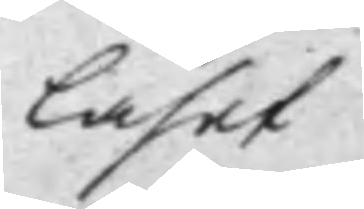läset
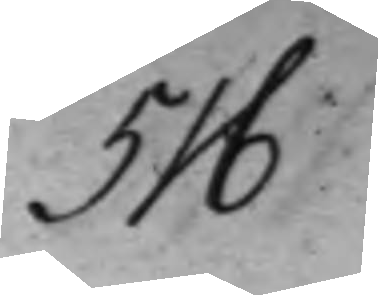516
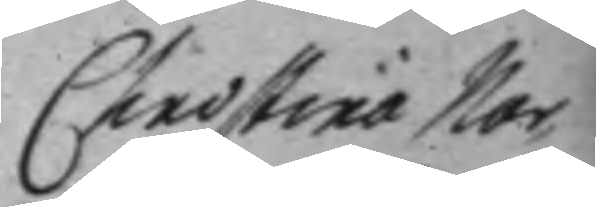Christina Nor¬
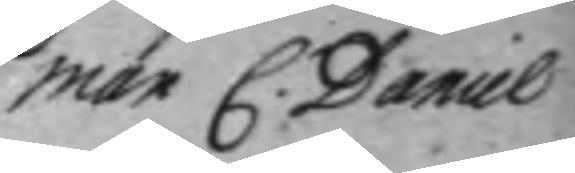man C. Daniel
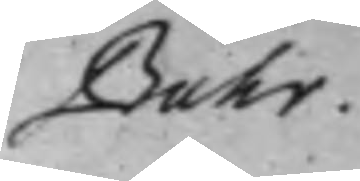Buhr.v
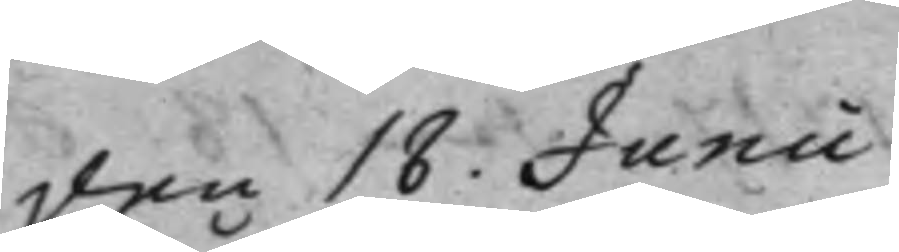den 18. Junii
